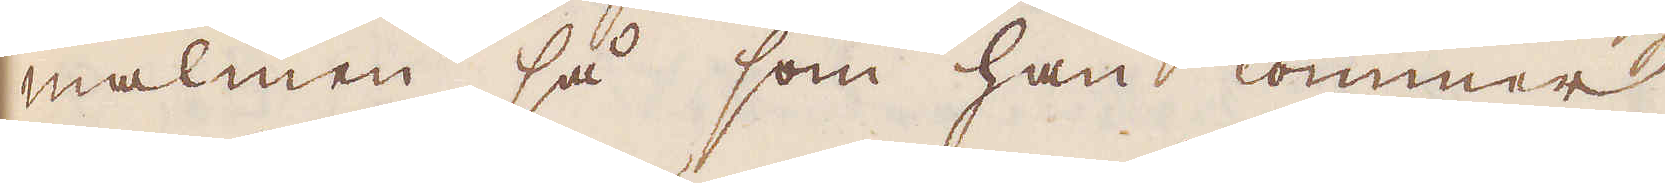malmen, så som han kommer
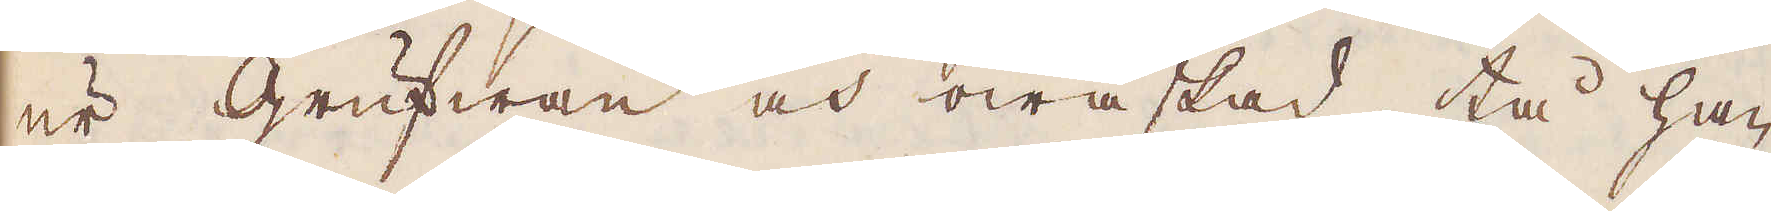ur Grufwan och owaskad, tå han
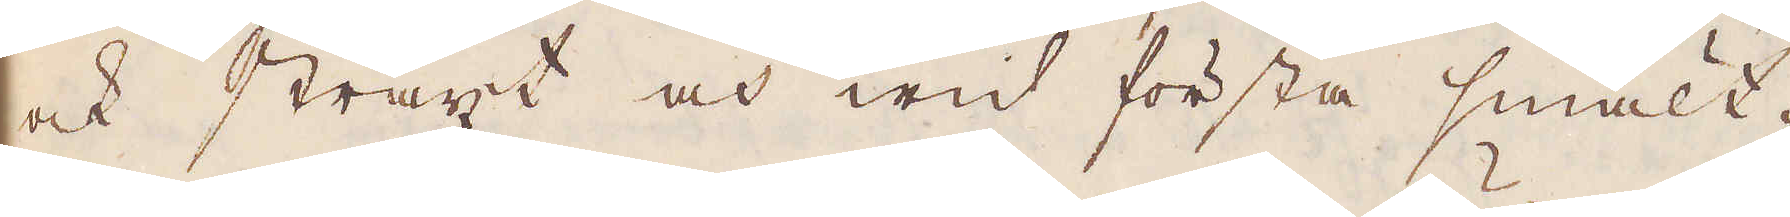ock straxt och wid första smält-
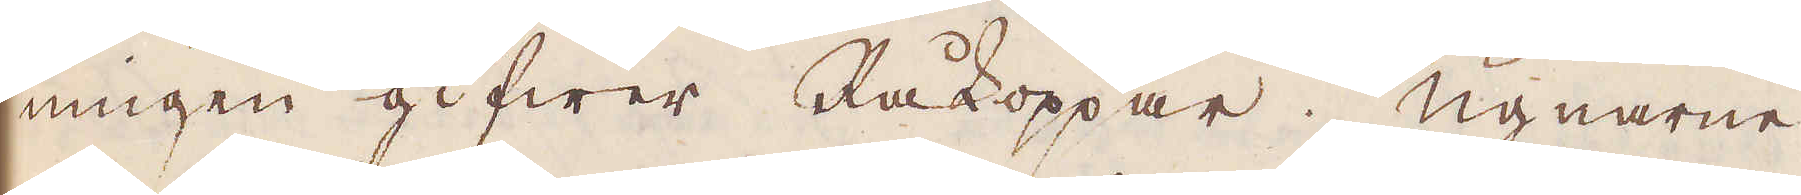ningen gifwer Råkoppar. Ugnarne
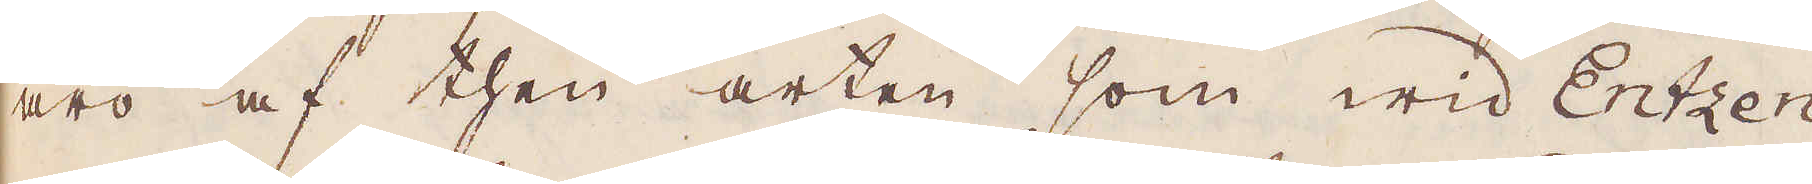äro af then arten som wid Entzen
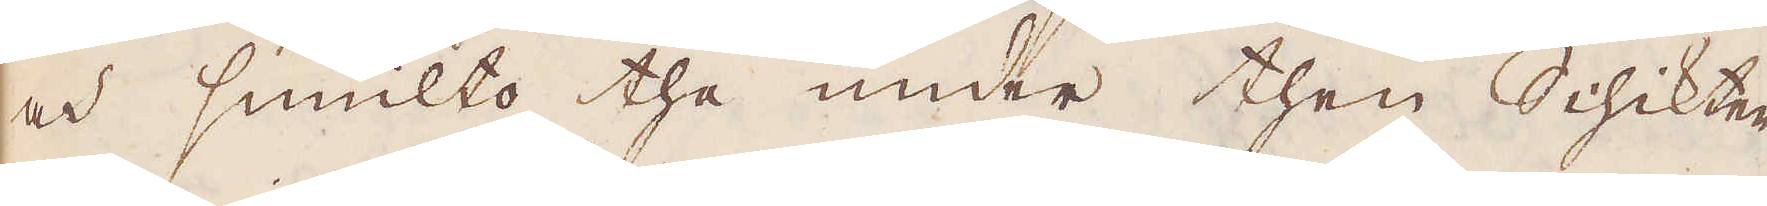och smulto the under then Schikten
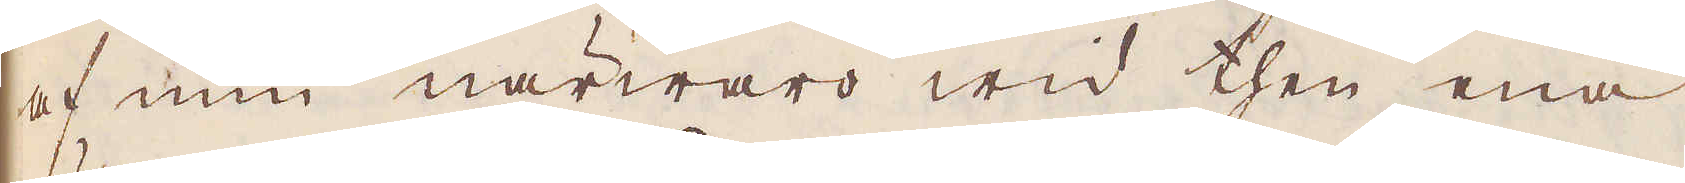af min närwaro wid then ena
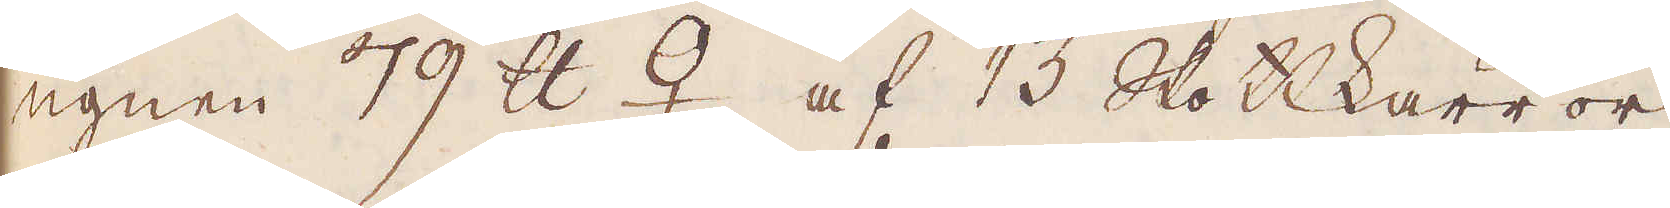ugnen 79 skålpund ♀ af 13 Skottkärror
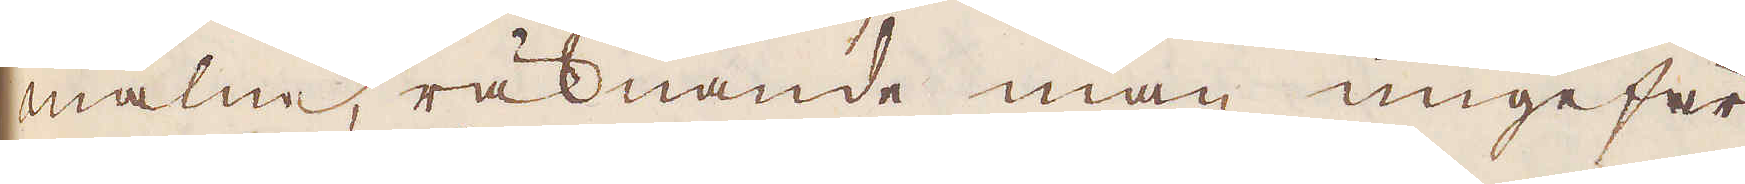malm räknande man ungefär
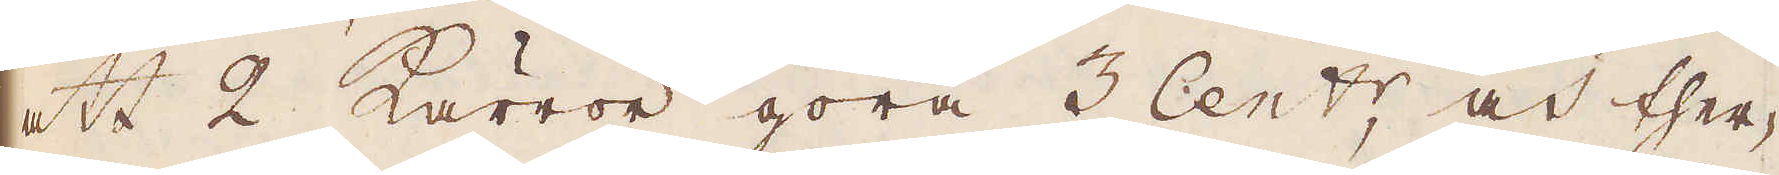att 2 kärror göra 3 Cent:r och ther-
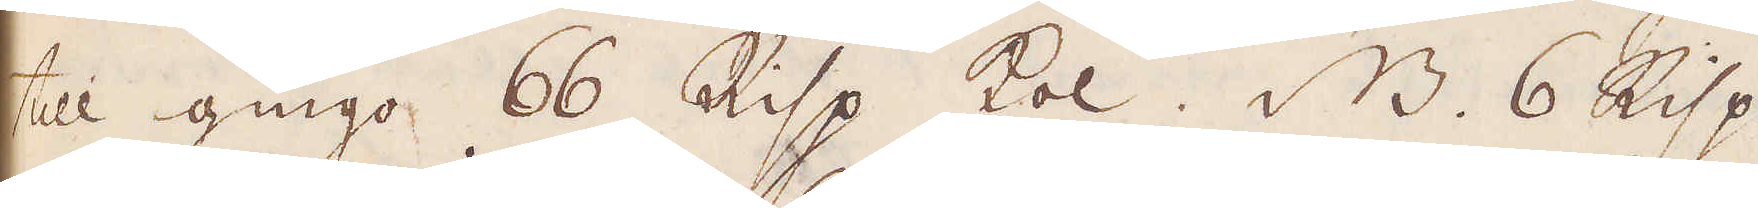till gingo 66 Risp kol, NB. 6 Risp.
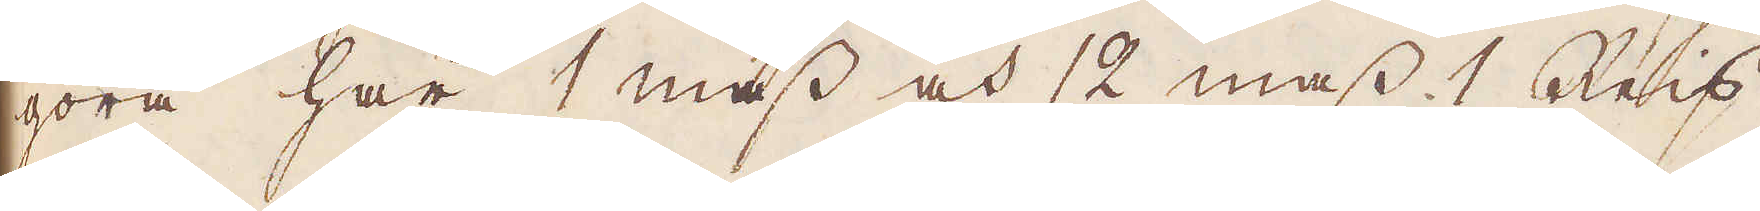göra här 1 mass och 12 mass. 1 Reis.
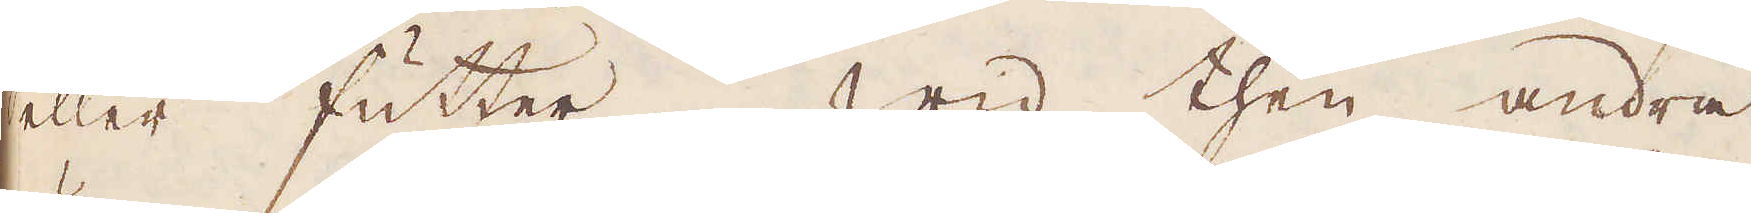eller futter. Wid then andra
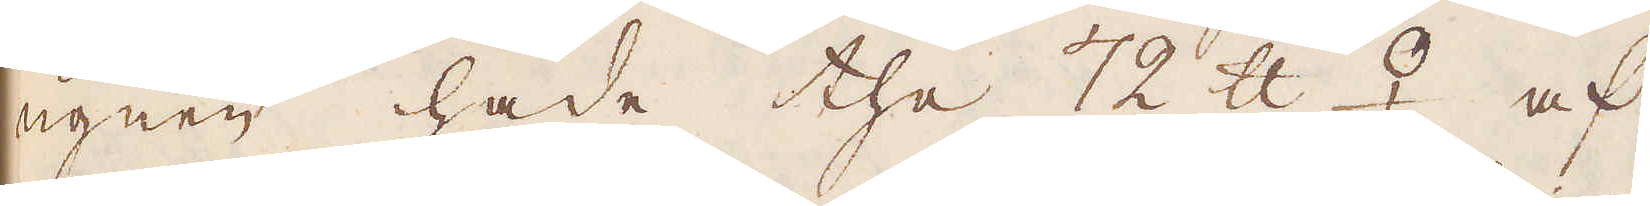ugnen hade the 72 skålpund ♀ af
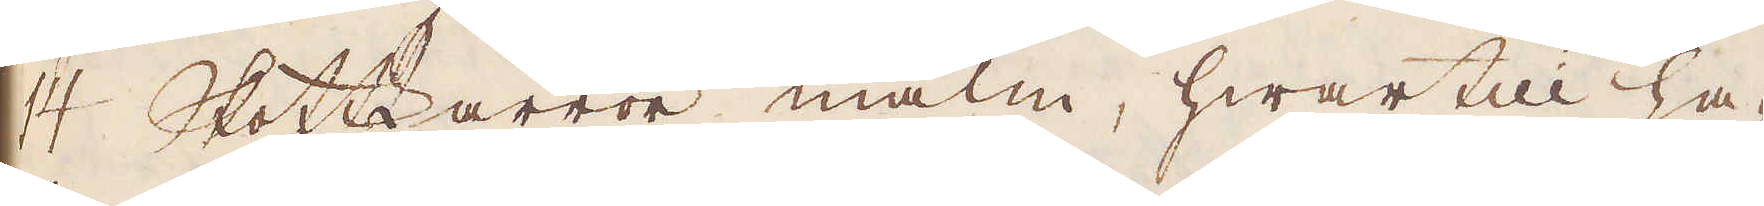14 Skottkärror malm, hwartill har
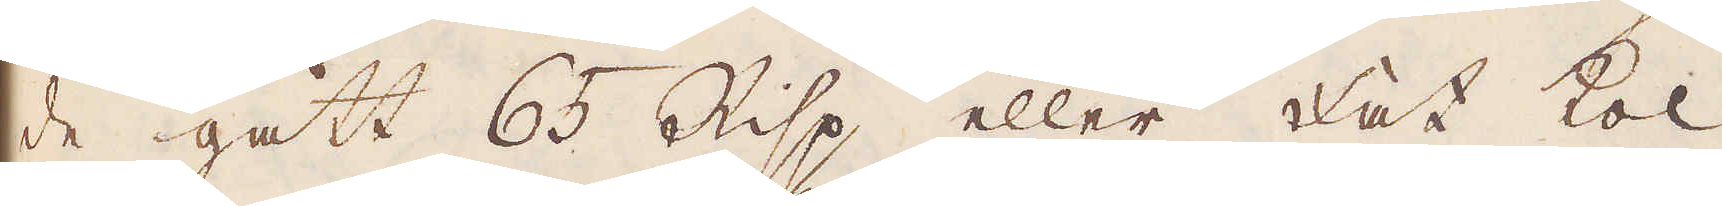de gått 65 Risp eller Fat kol,
